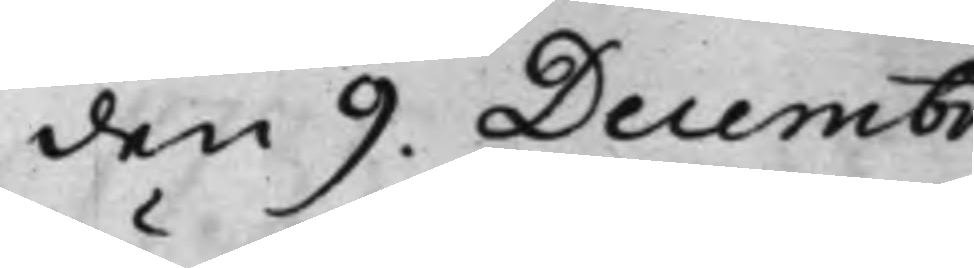den 9. Decembr.
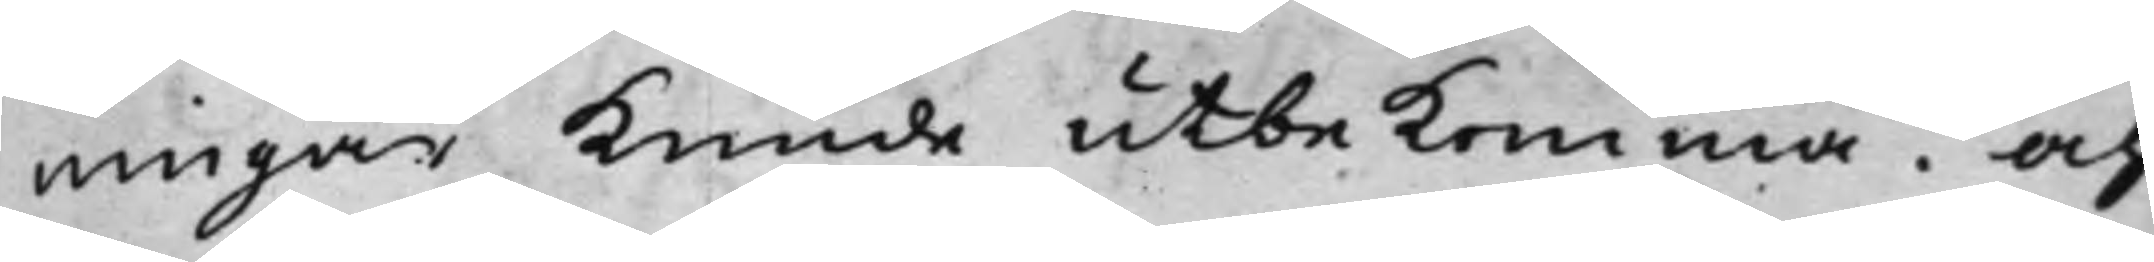ningar kunde utbekomma. Och
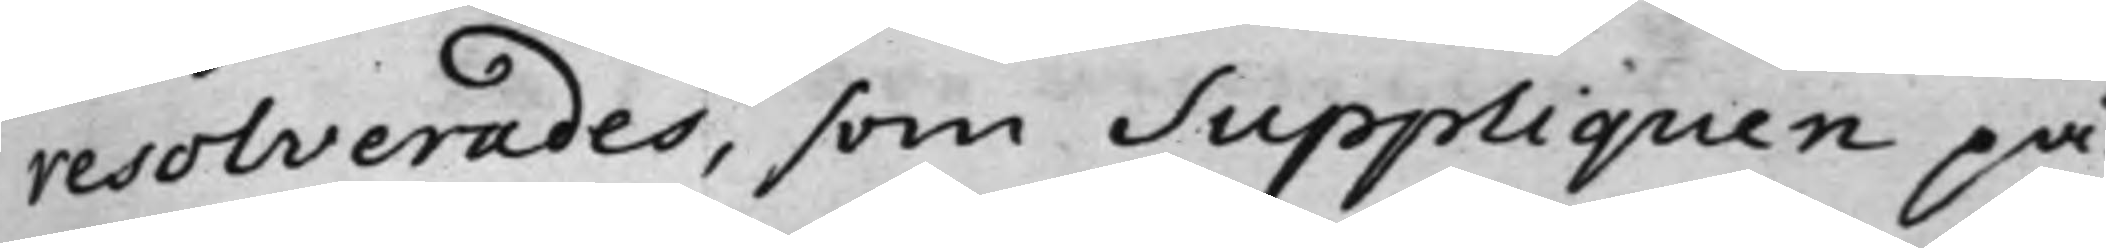resolverades, som Suppliquen på¬
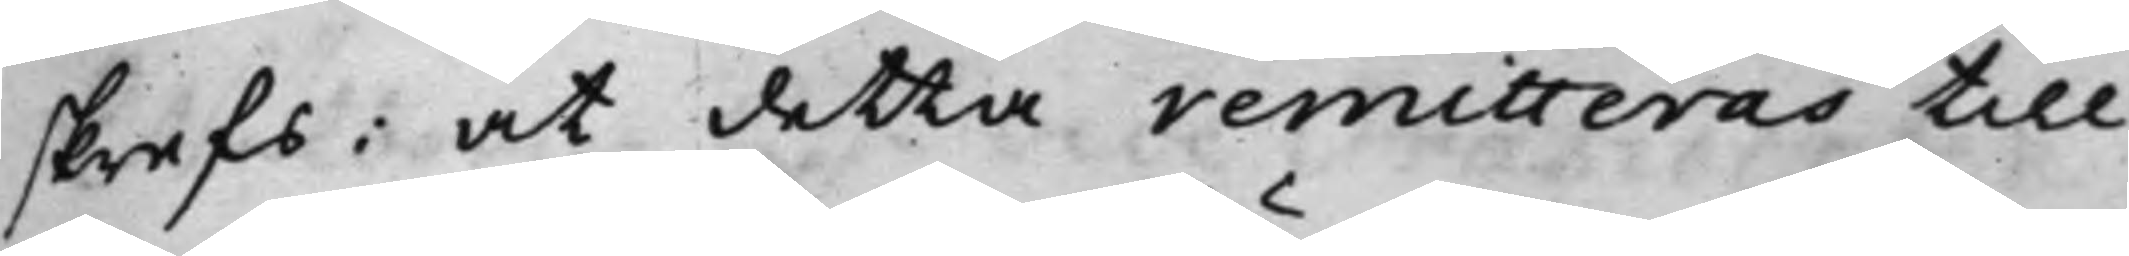skrefs, at detta remitteras till
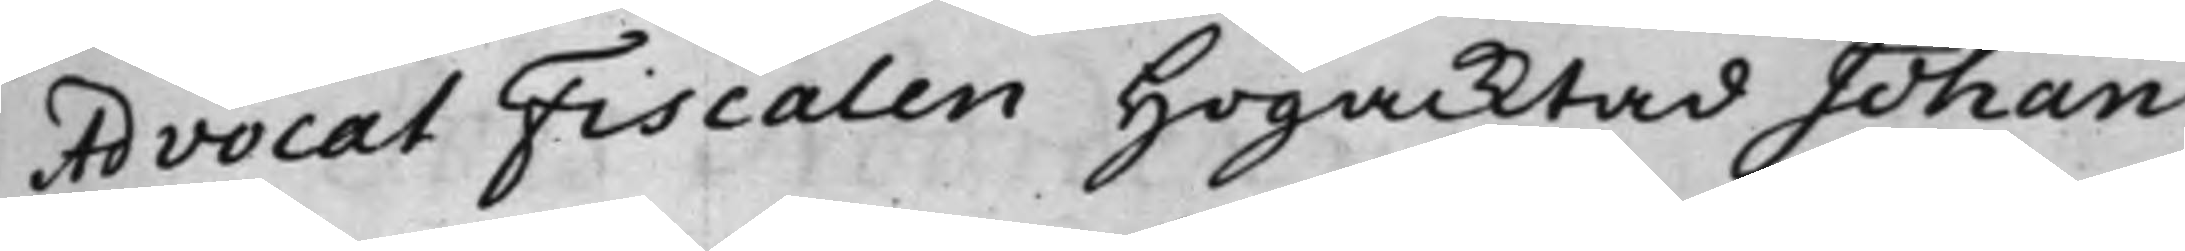Advocat Fiscalen Högacktad Johan
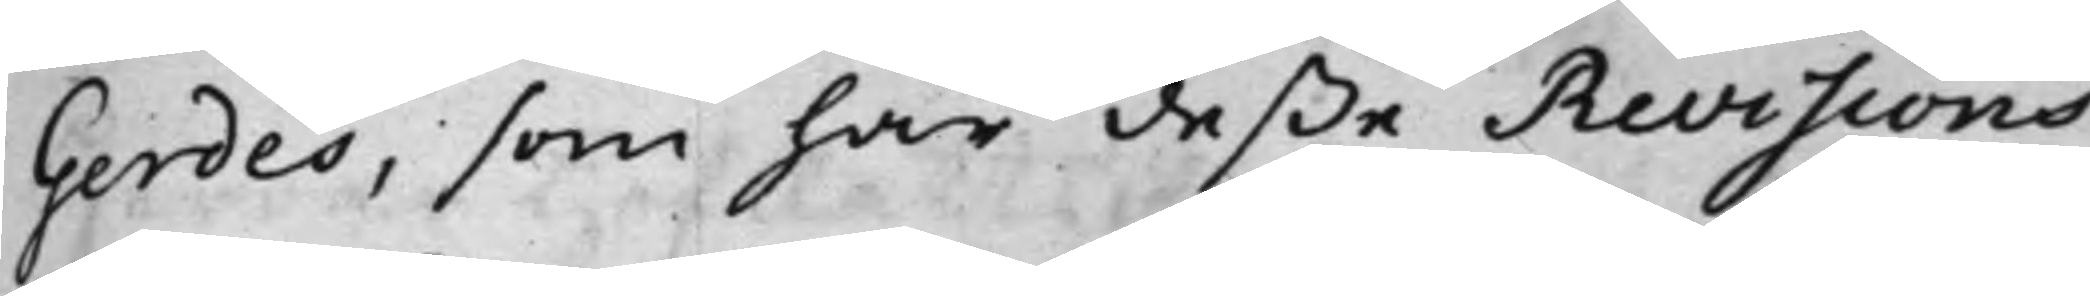Gerdes, som har deße Revisions¬
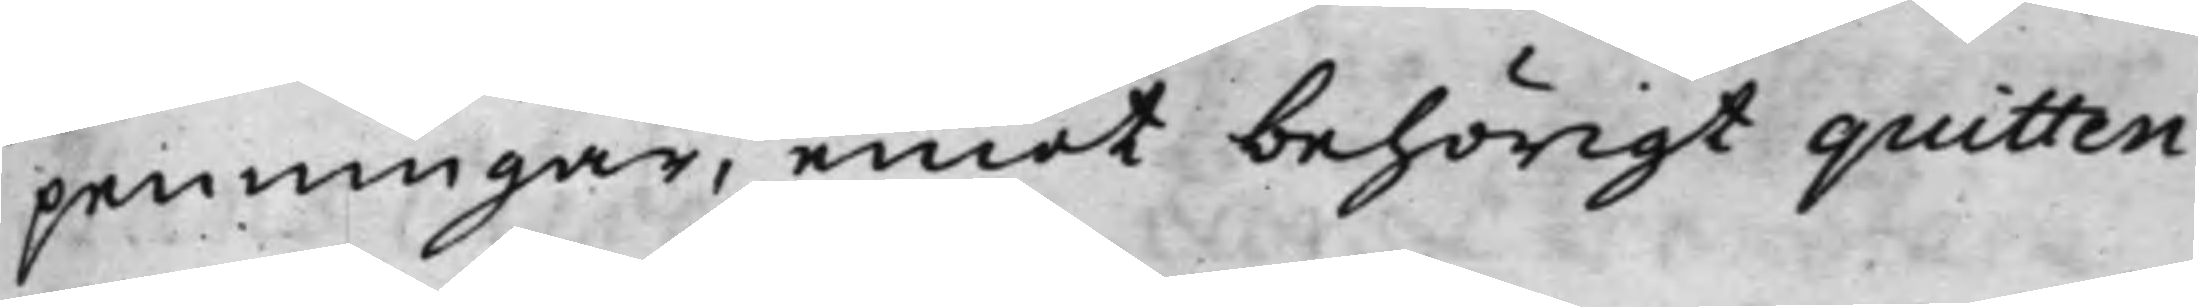penningar, emot behörigt quitten¬
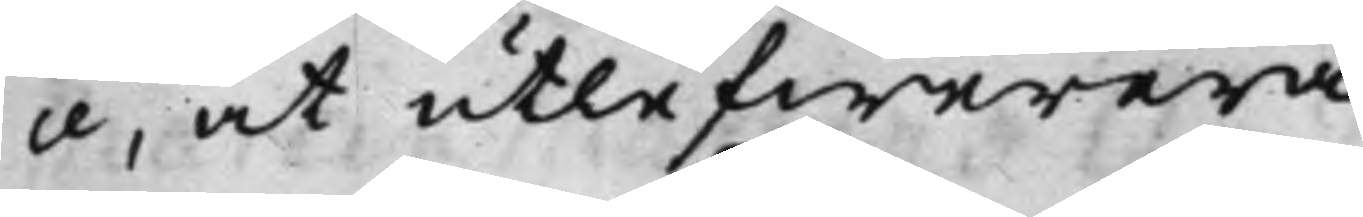ce, at utlefwerera.
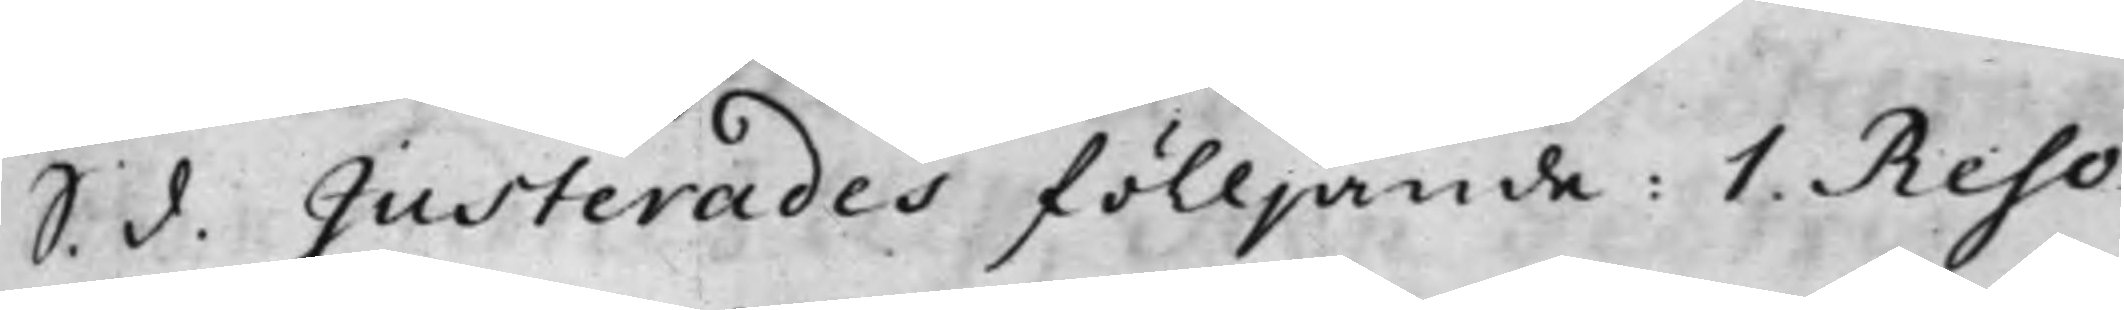S. d. Justerades fölljande: 1. Reso¬
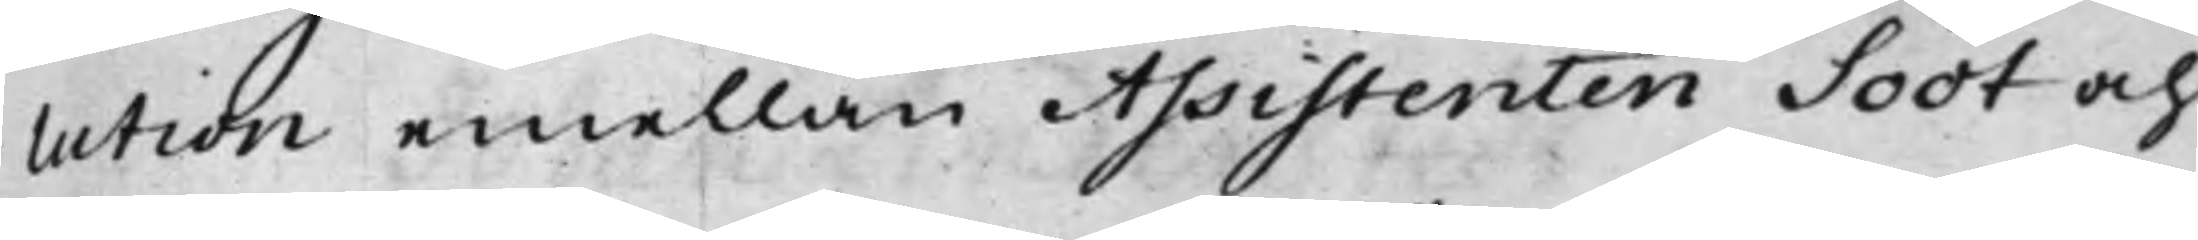lution emellan Assistenten Soot och
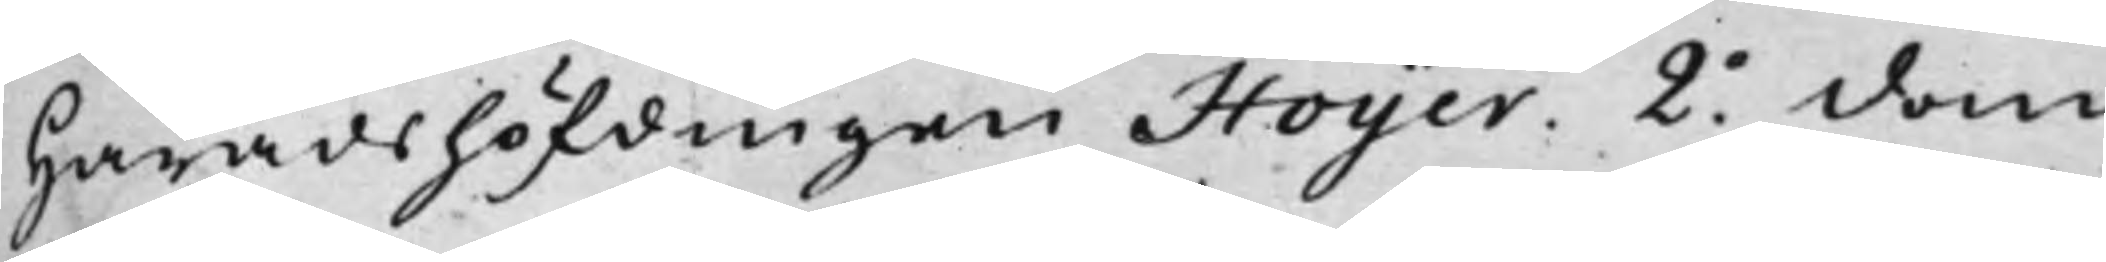Häradshöfdingen Hoijer. 2.o dom
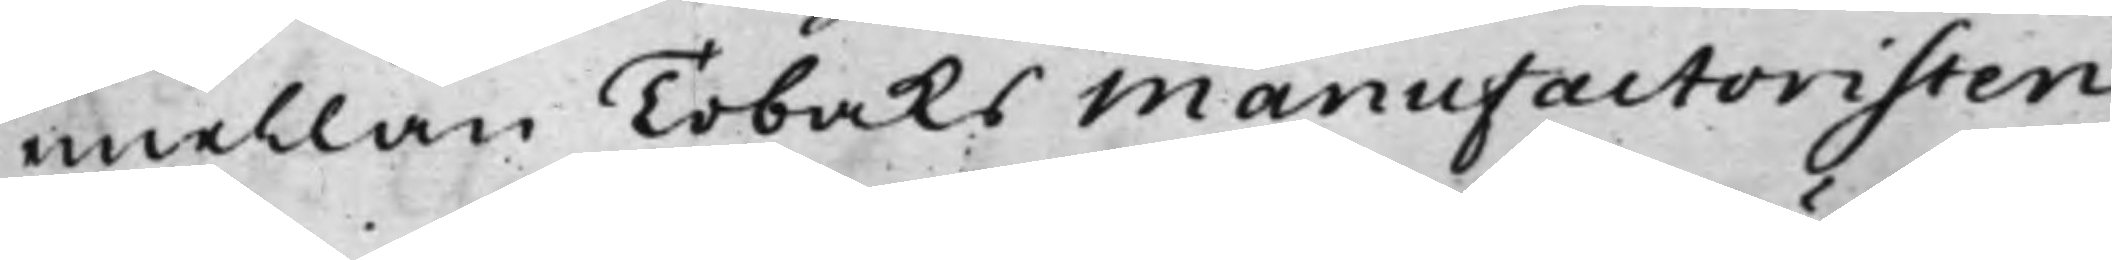emellan Tobaks Manufactoristen
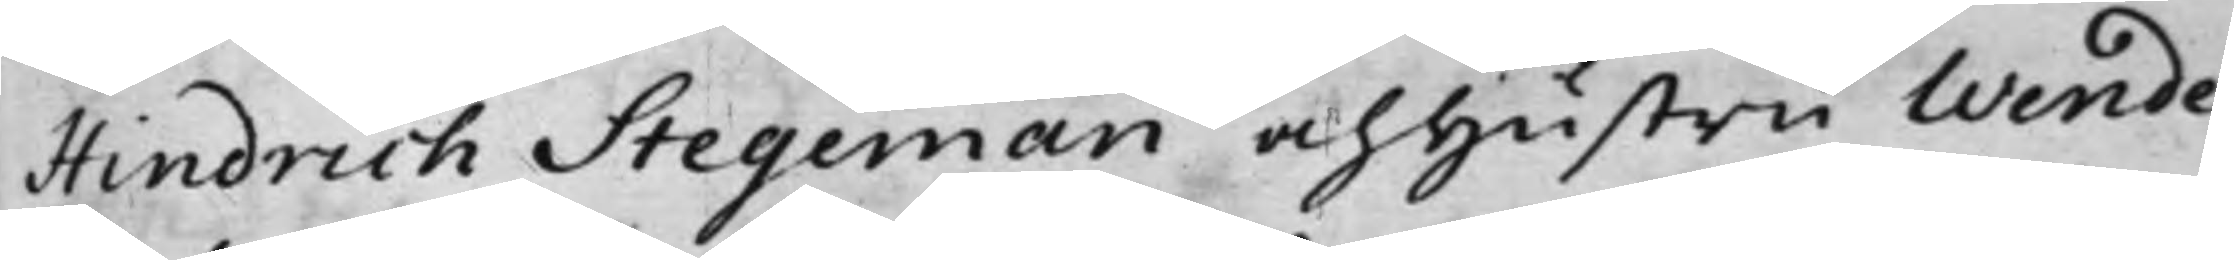Hindrich Stegeman och hustru Wende¬
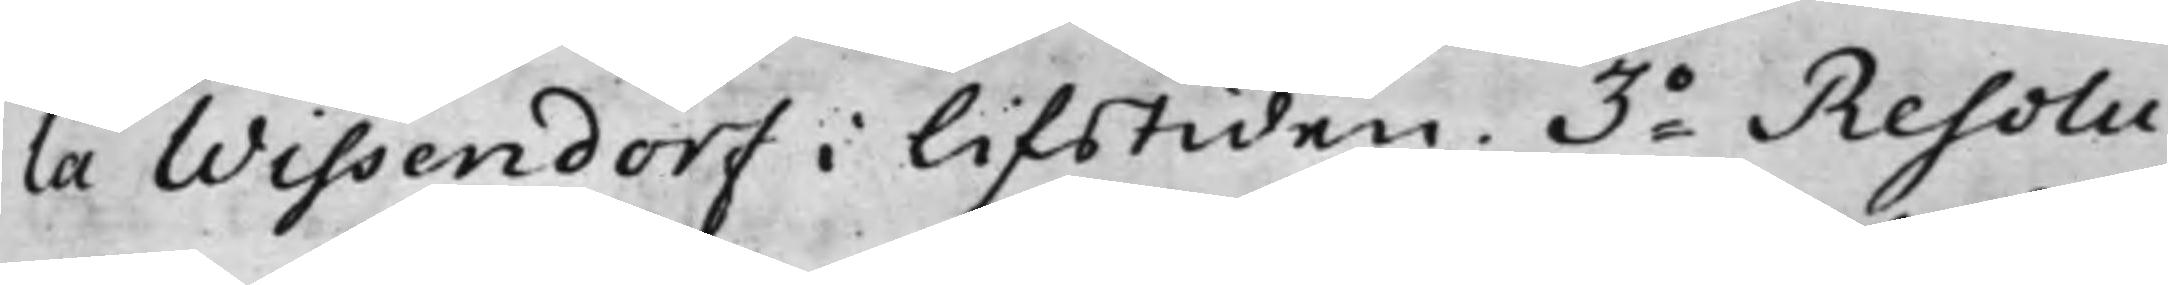la Wissendorf i lifstiden. 3o Resolu¬
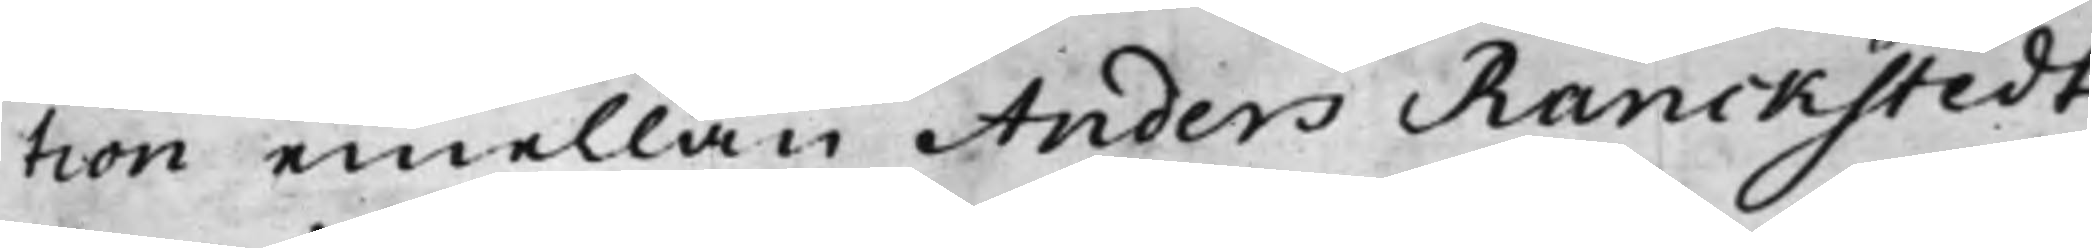tion emellan Anders Ranckstedt,
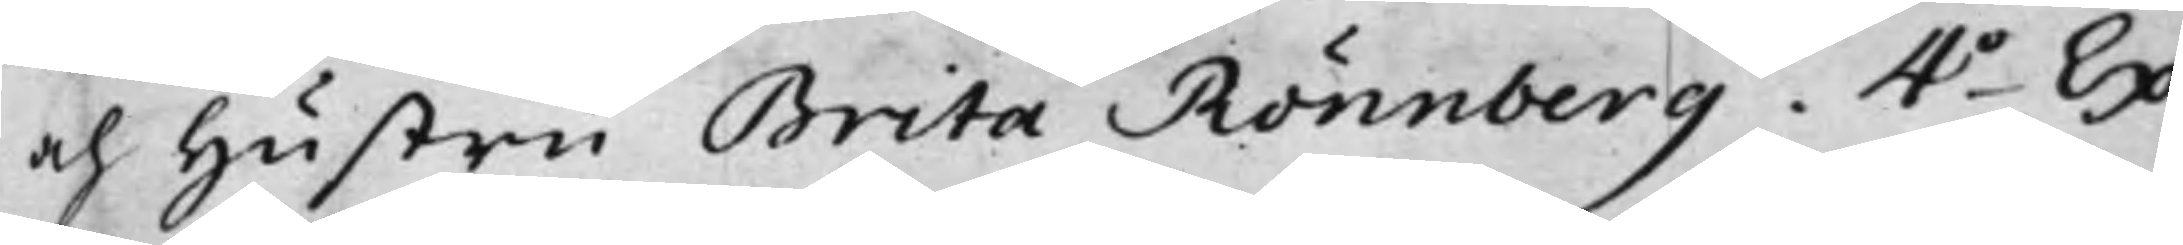och hustru Brita Rönnberg. 4o Ex¬
